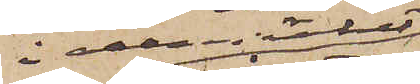i allmänhet
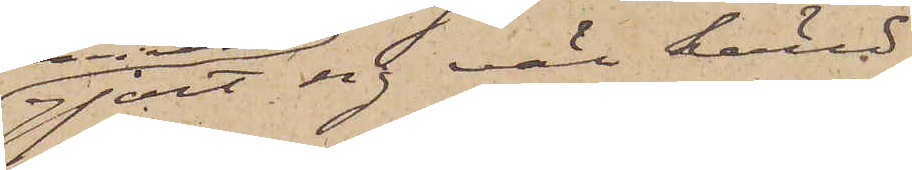gjort sig väl känd;
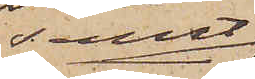samt
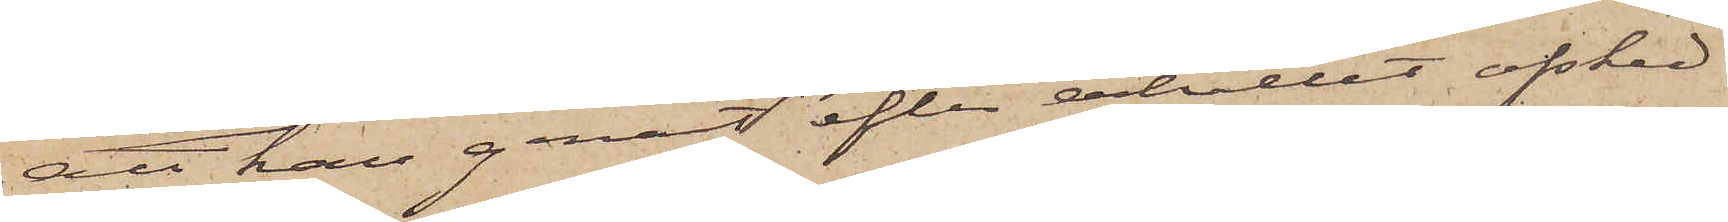att han genast efter erhållet afsked
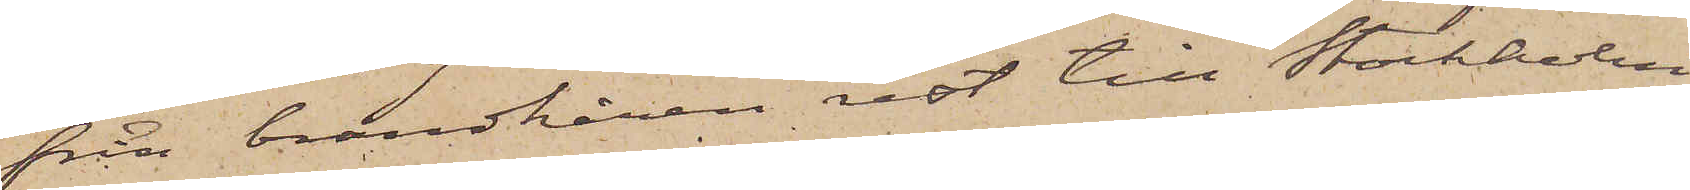från brandkåren rest till Stockholm
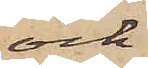och
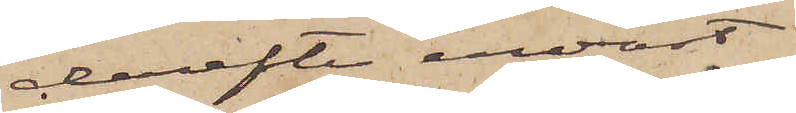derefter endast
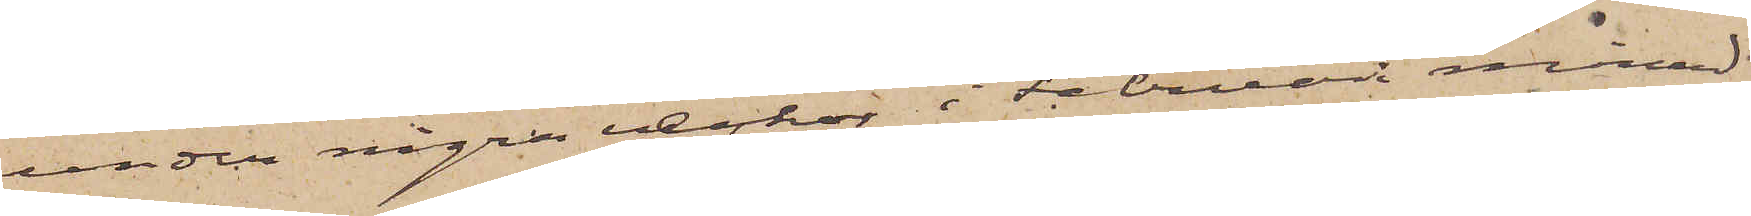under några besök i Februari månad
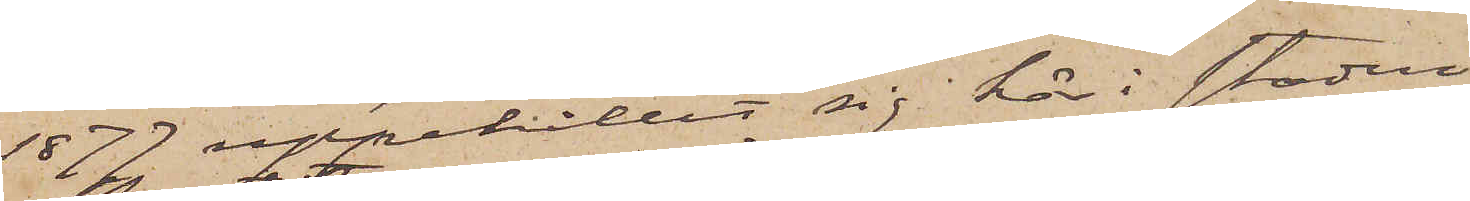1877 uppehållit sig här i staden.
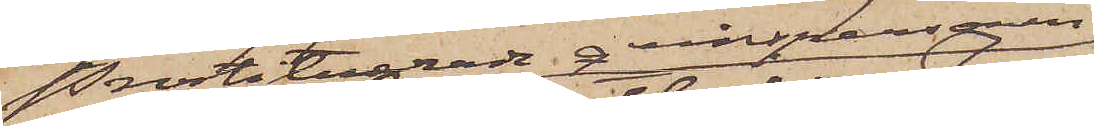Prostituerade qvinspersonen
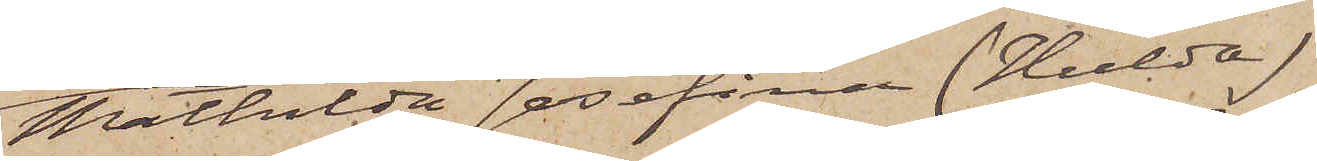Mathilda Josefina (Hulda)
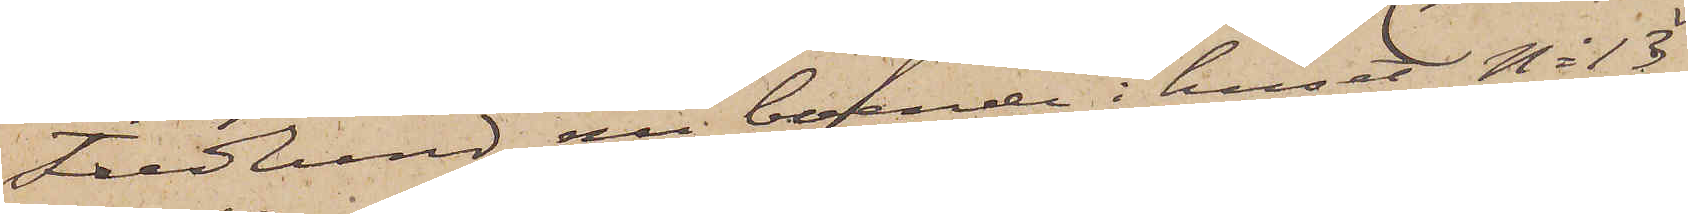Fredlund, nu boende i huset No 13
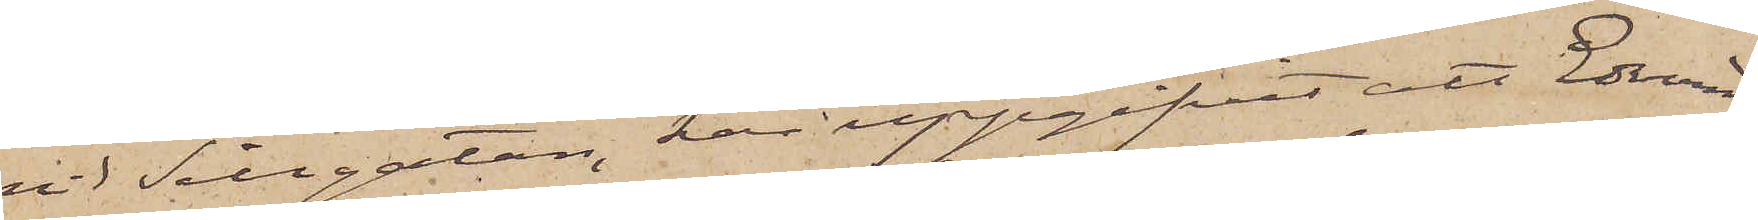vid Sillgatan, har uppgifvit att Edvard
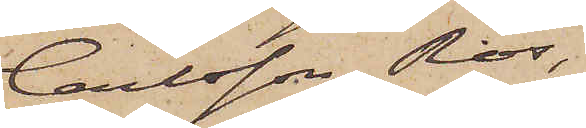Carlsson Ros,
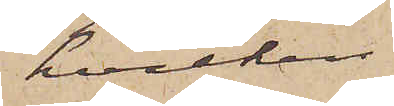hvilken
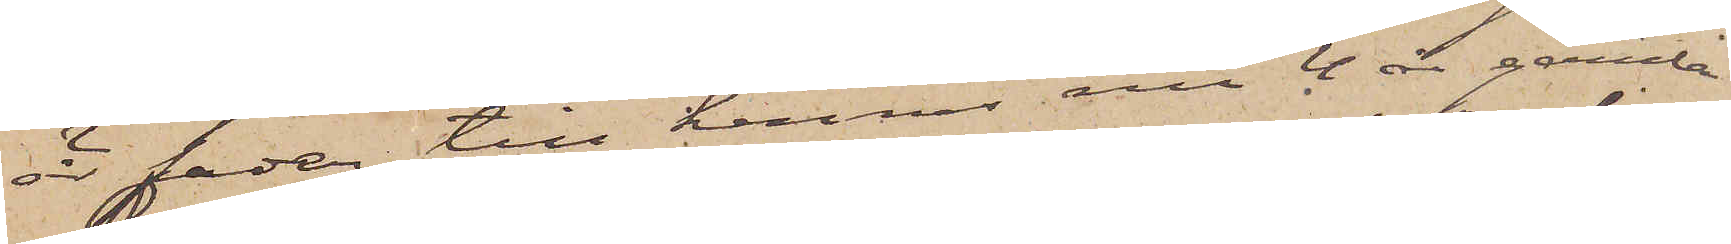är fader till hennes nu 4 år gamla
